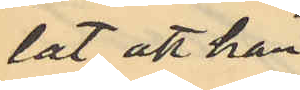lat att han
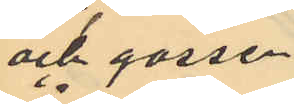och gossen
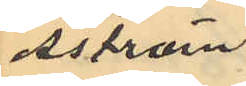Åström
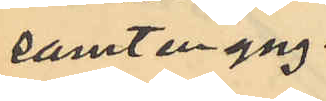samt en yng¬
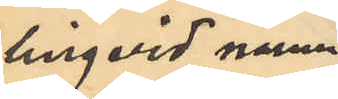ling vid namn
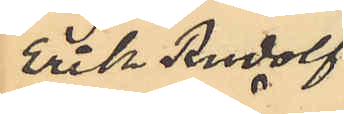Erik Rudolf
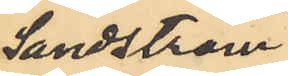Sandström
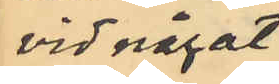vid något
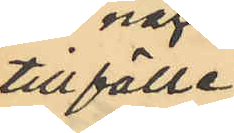tillfälle
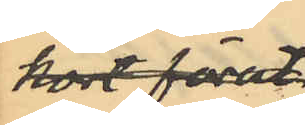kort förut
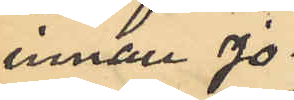innan Jo¬
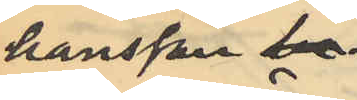hansson be
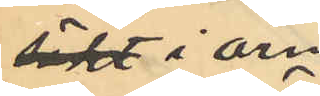sökt i Örn¬
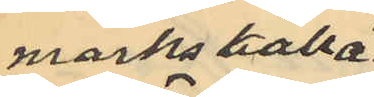marks källa¬
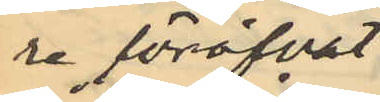re föröfvat
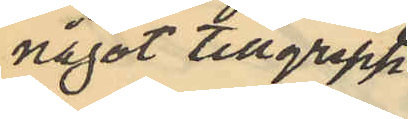något tillgrepp
